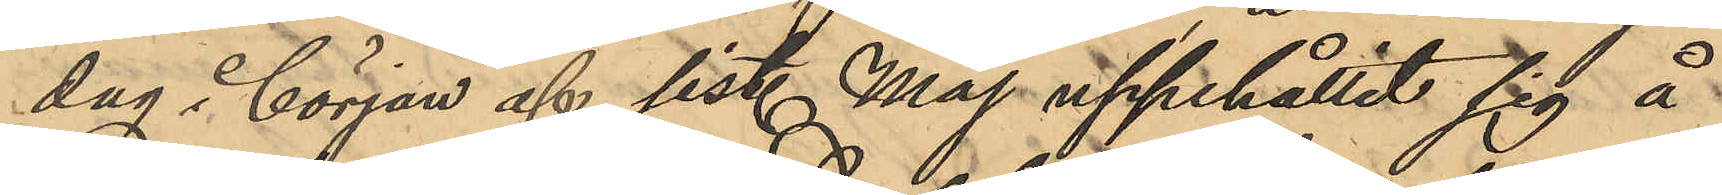dag i början af sist. Maj uppehållit sig å
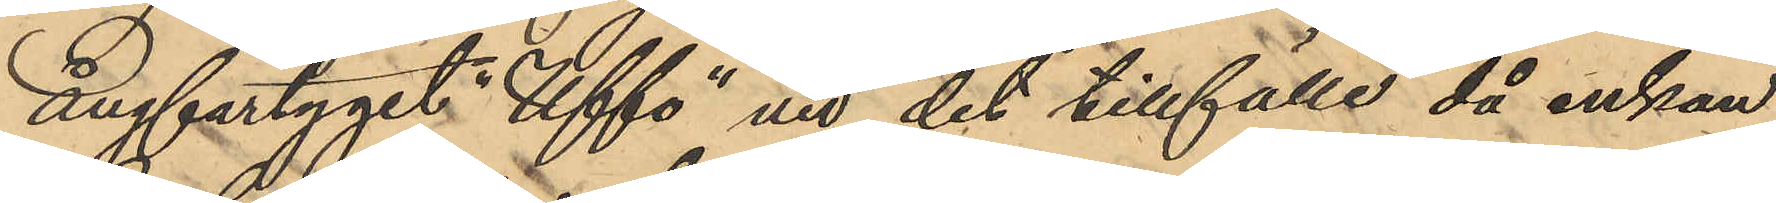ångfartyget "Uffo" vid det tillfälle då enkan
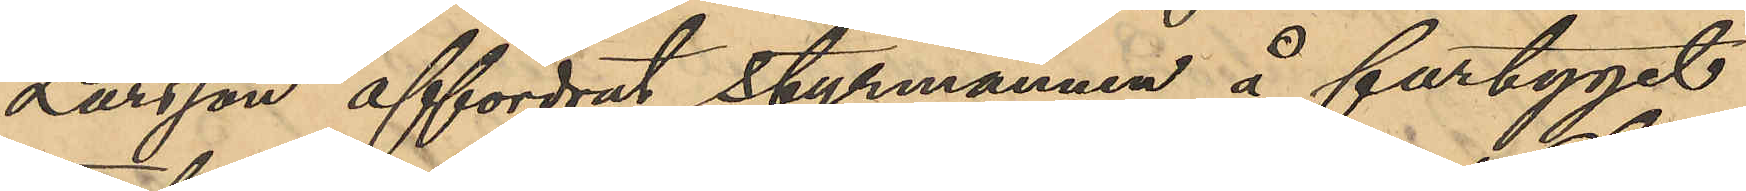Larsson affordrat styrmannen å fartyget
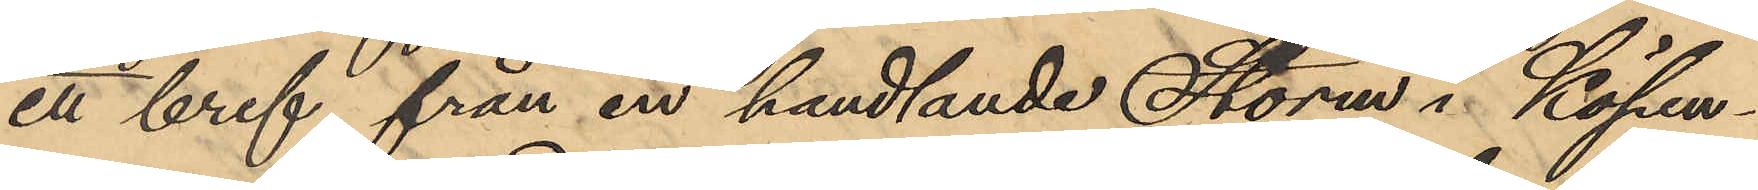ett bref från en handlande Storm i Köpen¬
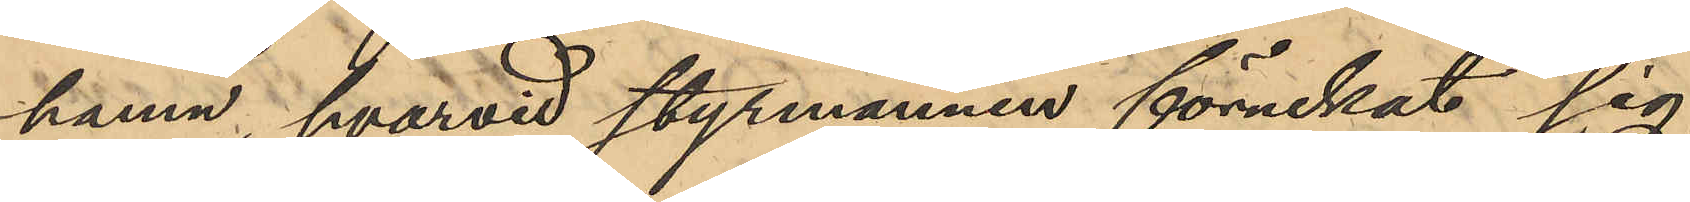hamn, hvarvid styrmannen förnekat sig
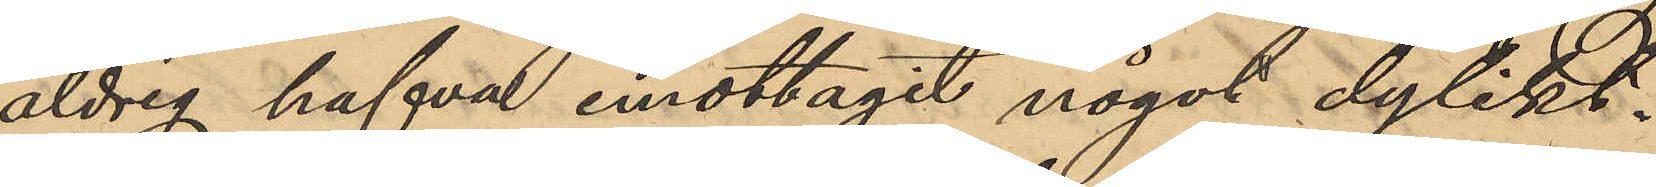aldrig hafva emottagit något dylikt.
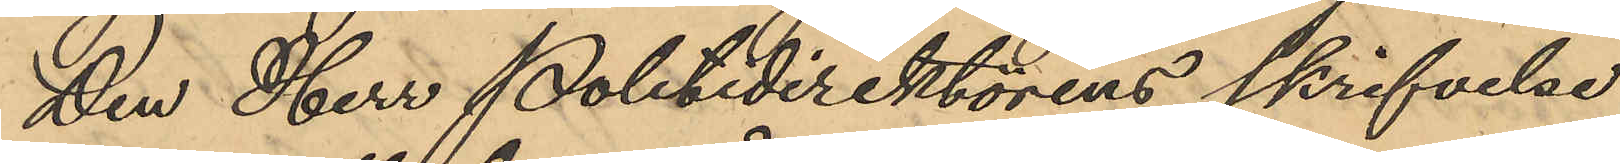Den Herr Politidirektörens skrifvelse
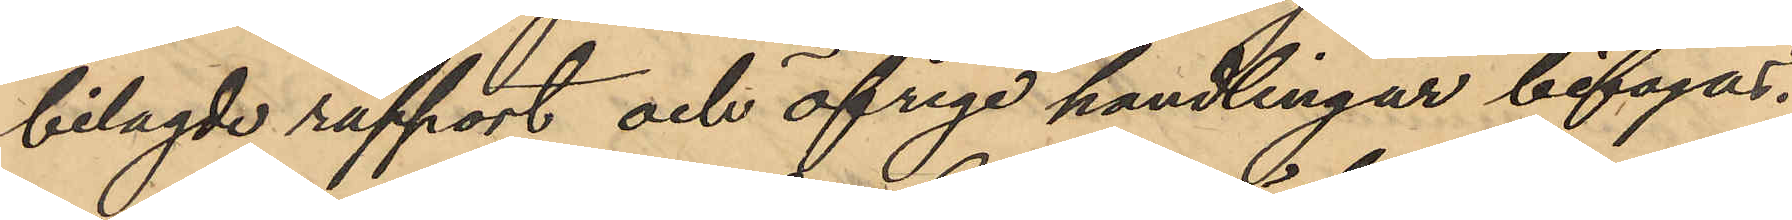bilagde rapport och öfriga handlingar bifogas.
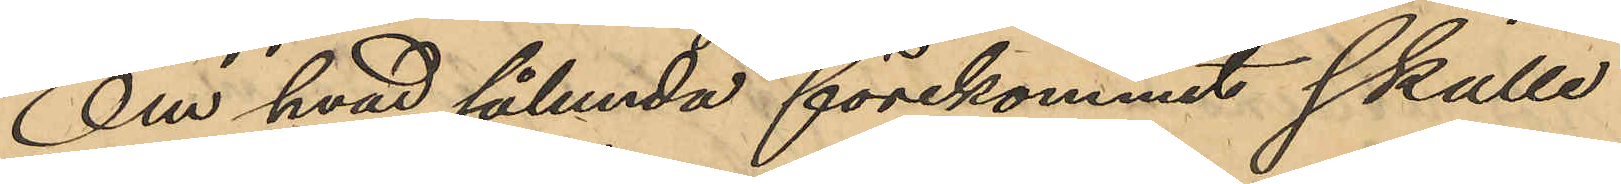Om hvad sålunda förekommit skulle
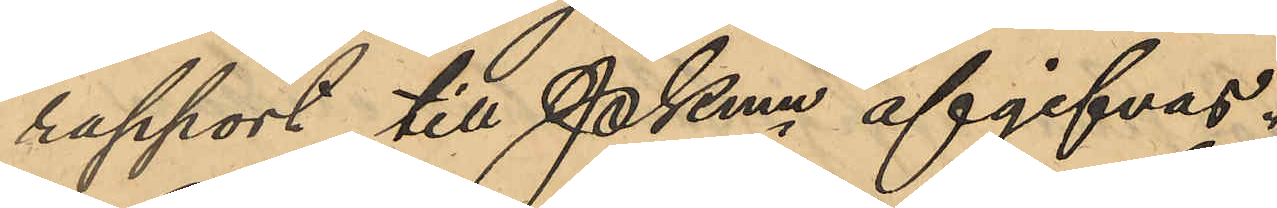rapport till Pkmn afgifvas.
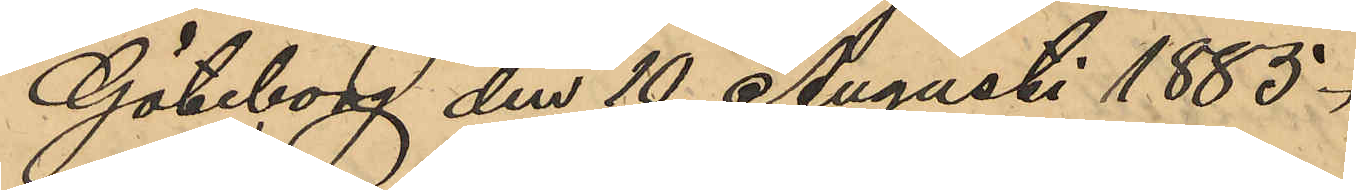Göteborg den 10 Augusti 1885.
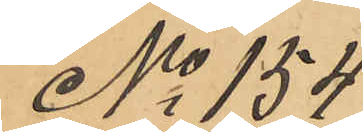No 154
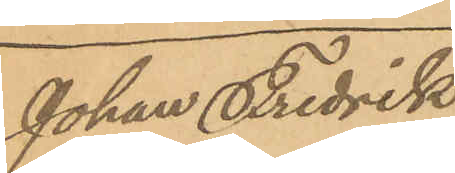Johan Fredrik
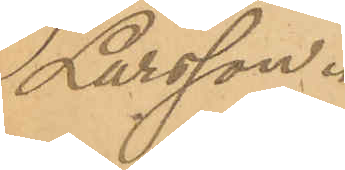Larsson.
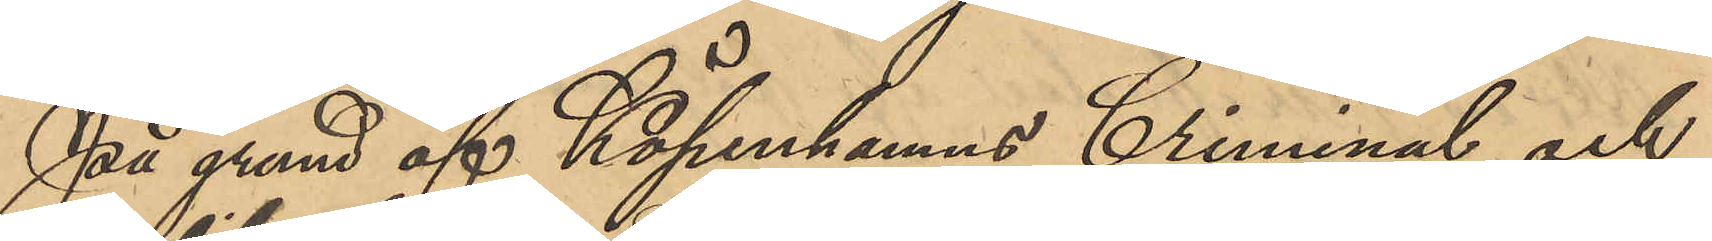På grund af Köpenhamns Criminal och
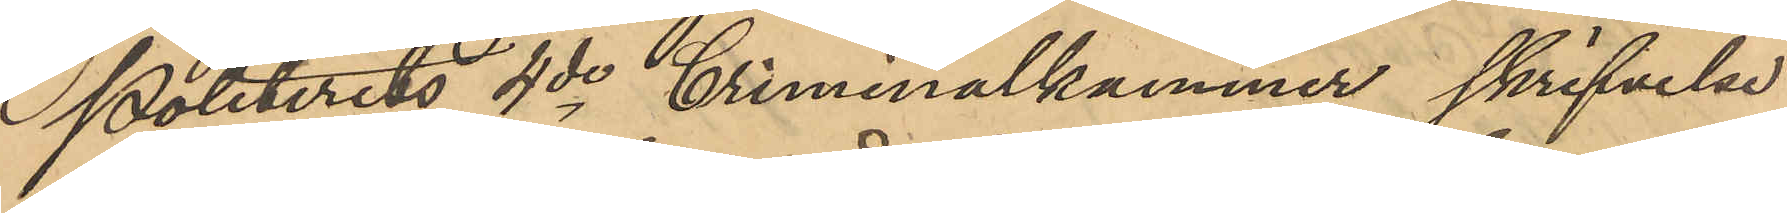Politirets 4de Criminalkammer skrifvelse
